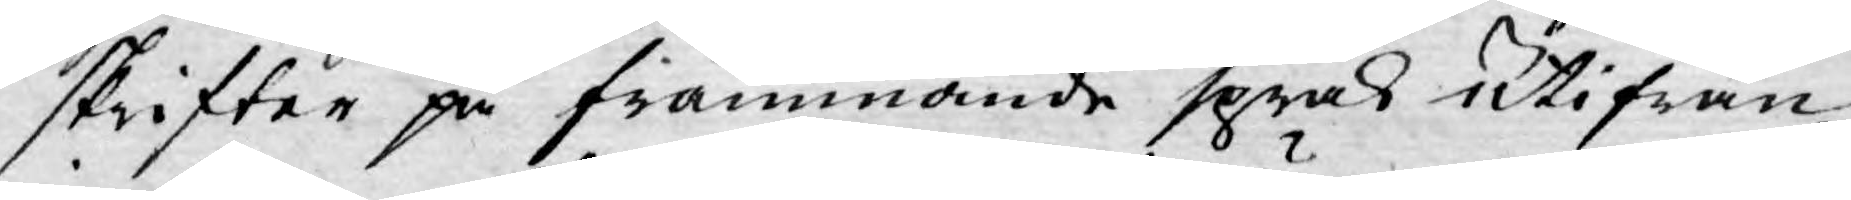skrifter på främmande språk utifrån
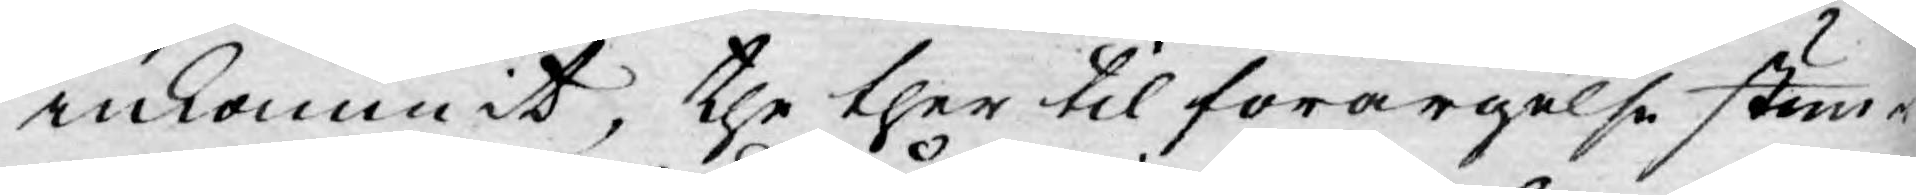inkommit, the ther til förargelse stun¬
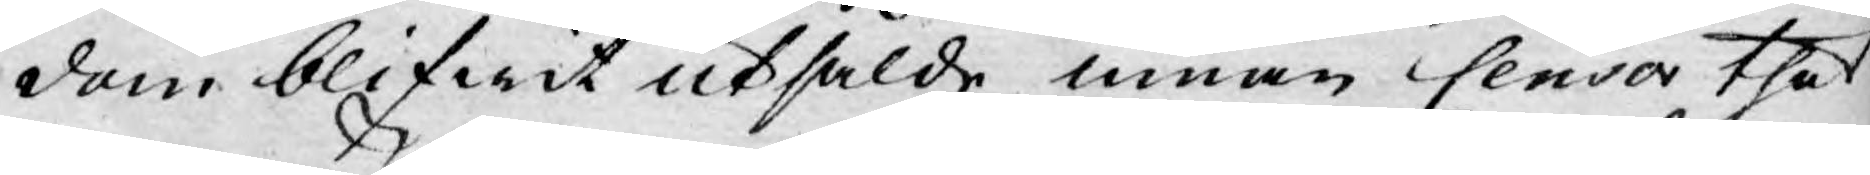dom blifwit utsålde innan Censor thet
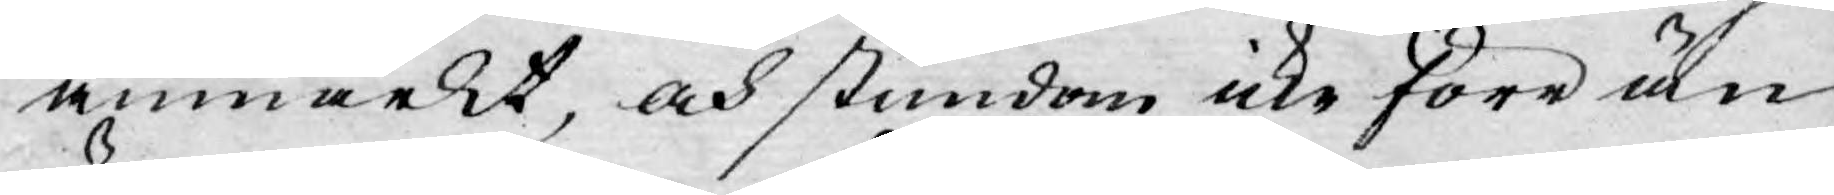anmärkt, och stundom icke förr än
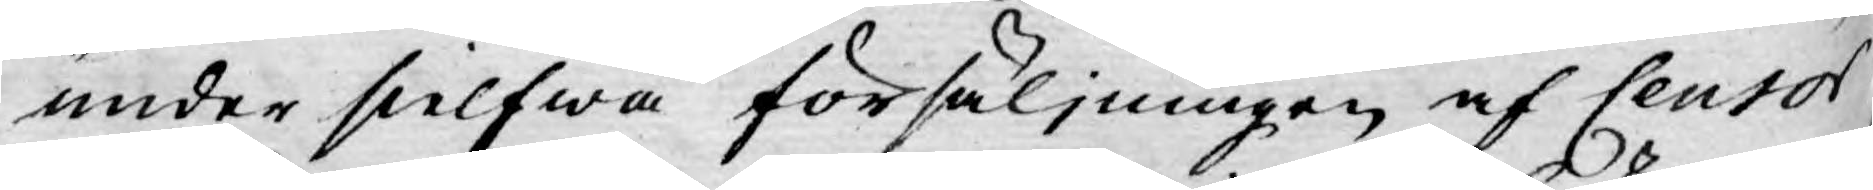under sielfwa försäljningen af Censor
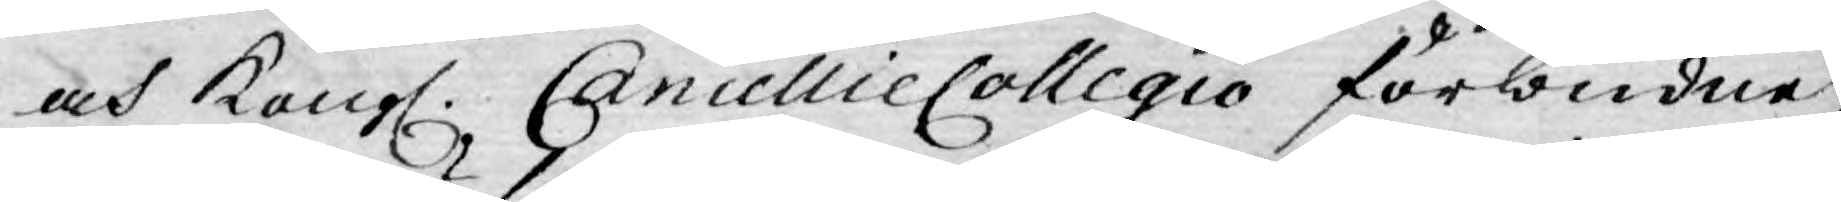och Kongl. CancellieCollegio förbudne
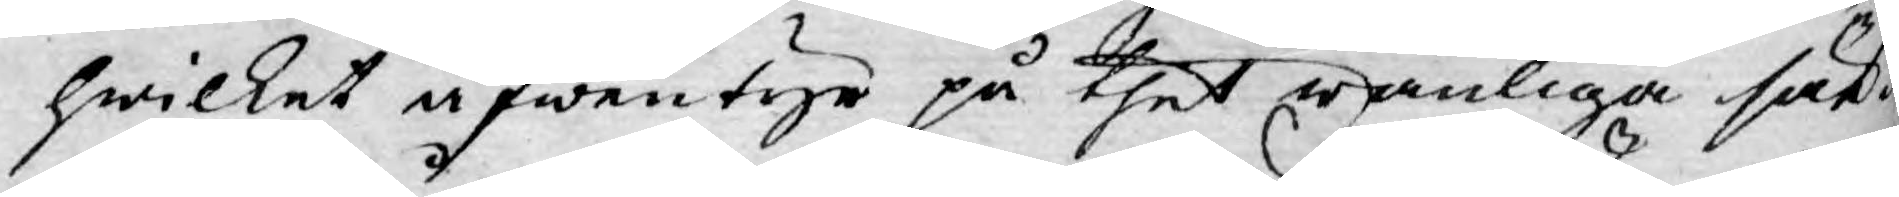hwilket äfwentyr på thet wanliga sät¬
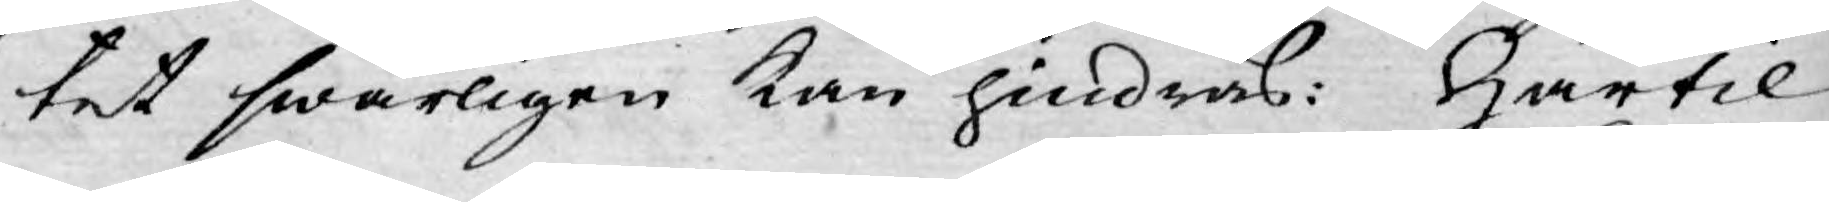tet swårligen kan hindras: Härtil
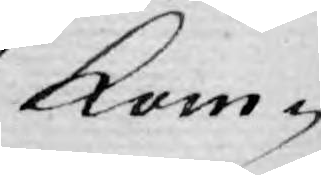kom¬
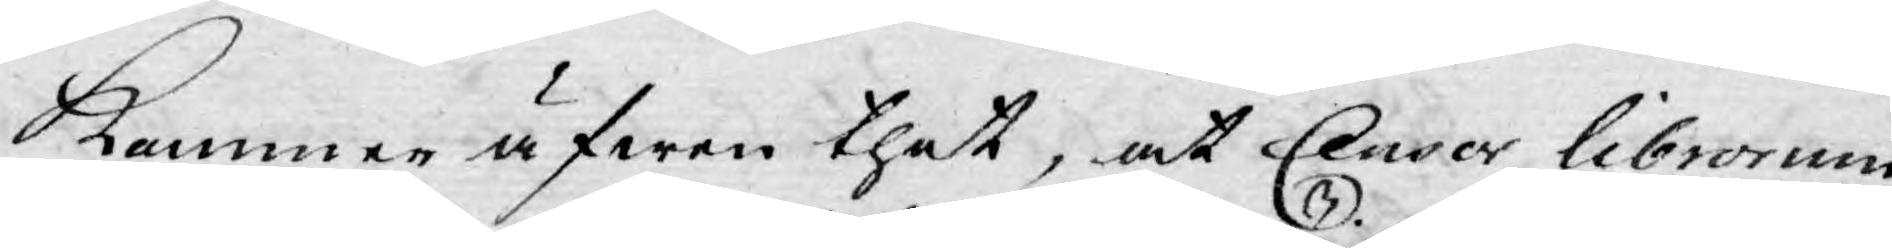kommer äfwen thet, at Censor Librorum
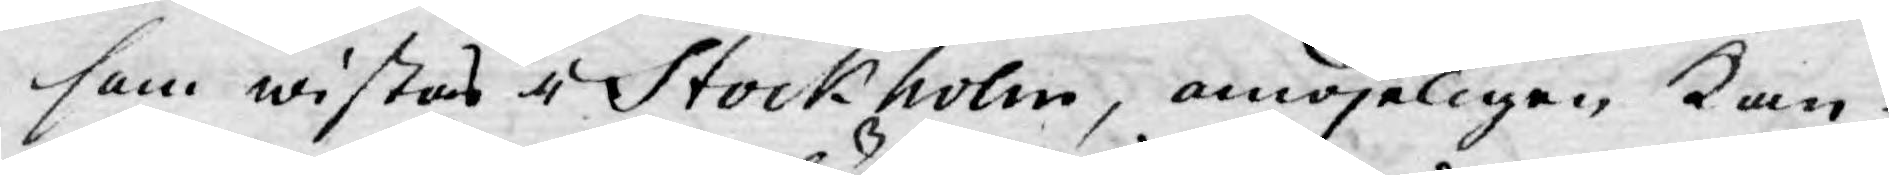som wistas i Stockholm, omöjeligen Kan
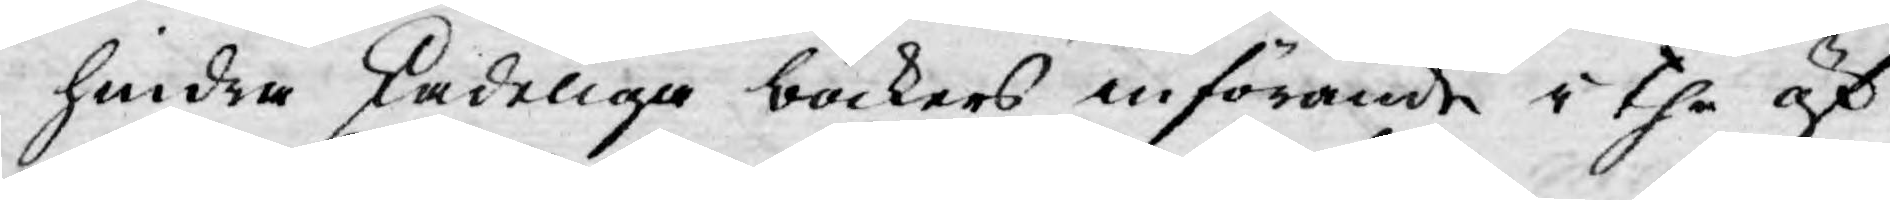hindra skadeliga böckers införande i the öf¬
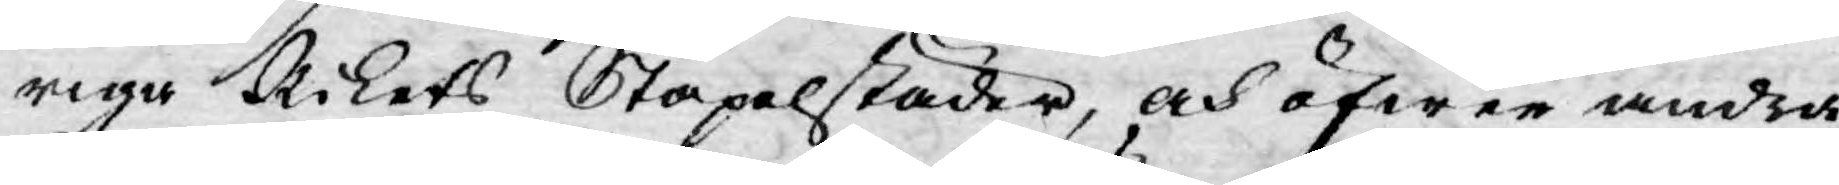riga Rikets Stapelstäder, och öfwer andra
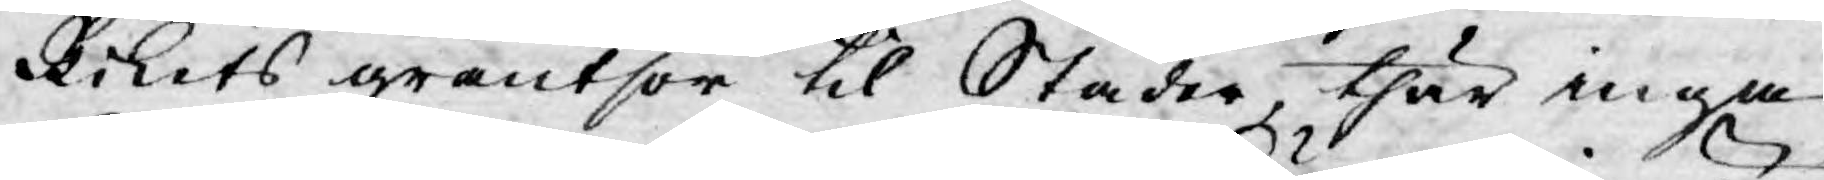Rikets gräntsor til Städer, thär inga
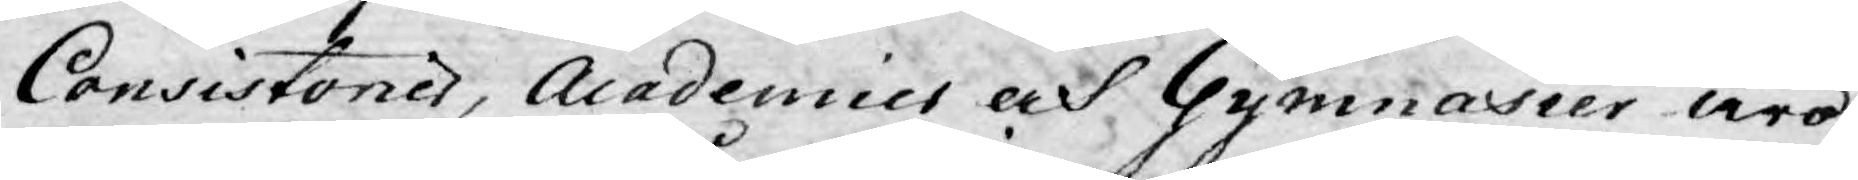Consistorier, Academies och Gymnasier äro
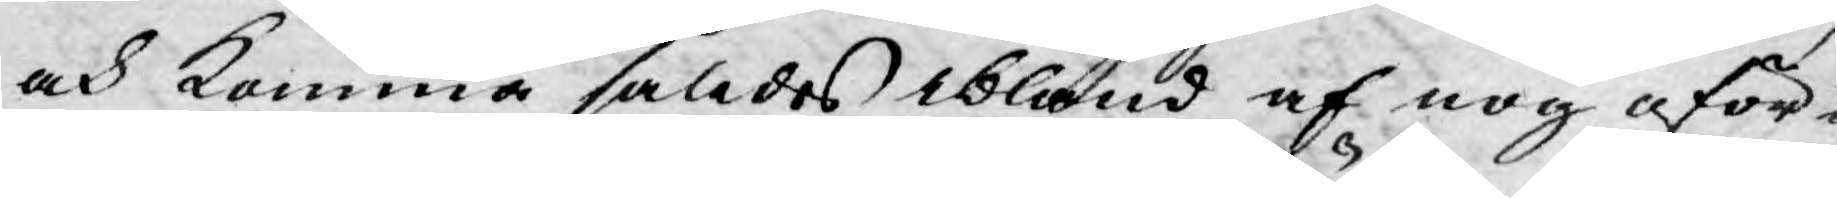och komma såldes ibland af nog oför¬
